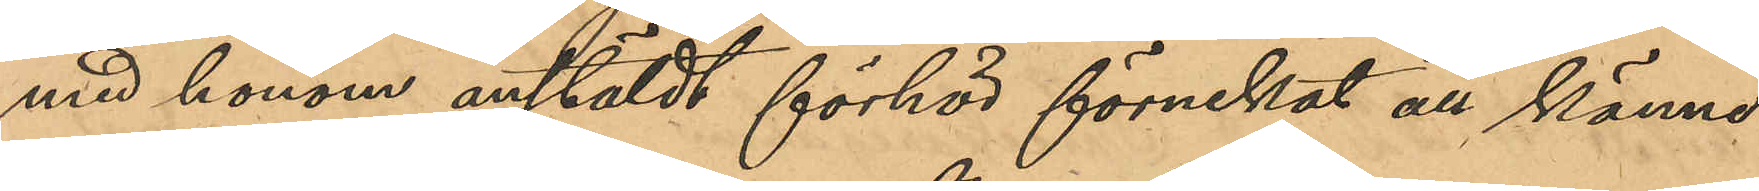med honom anstäldt förhör förnekat all känne¬
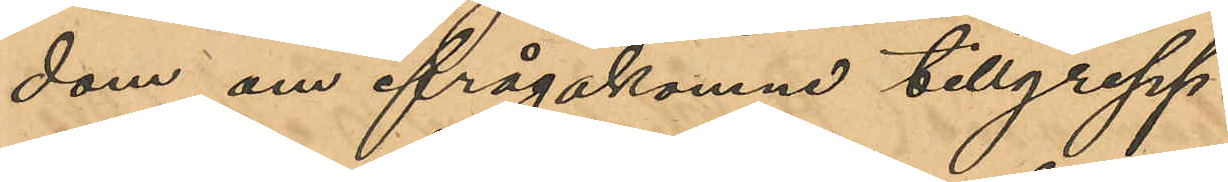dom om ifrågakomne tillgrepp.
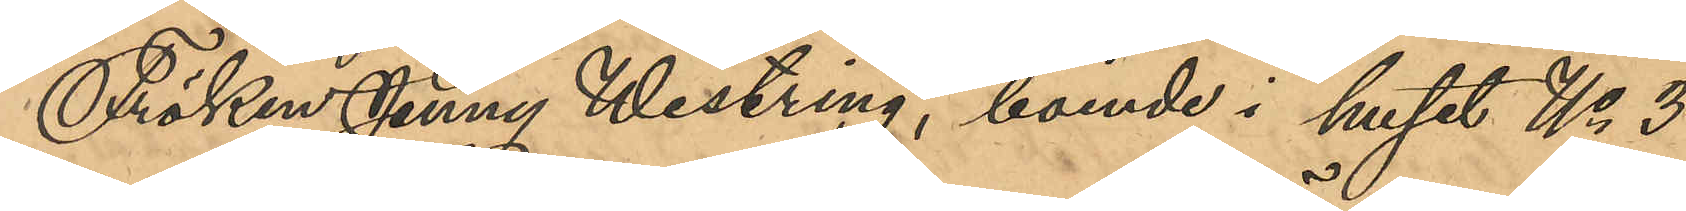Fröken Jenny Westring, boende i huset No 3
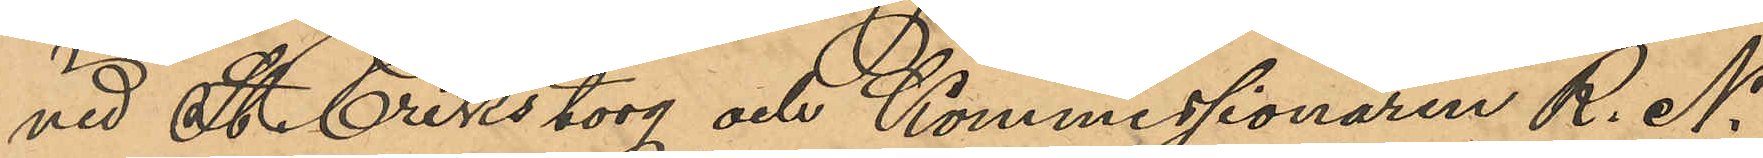vid St. Eriks torg och Kommissionären R. N.
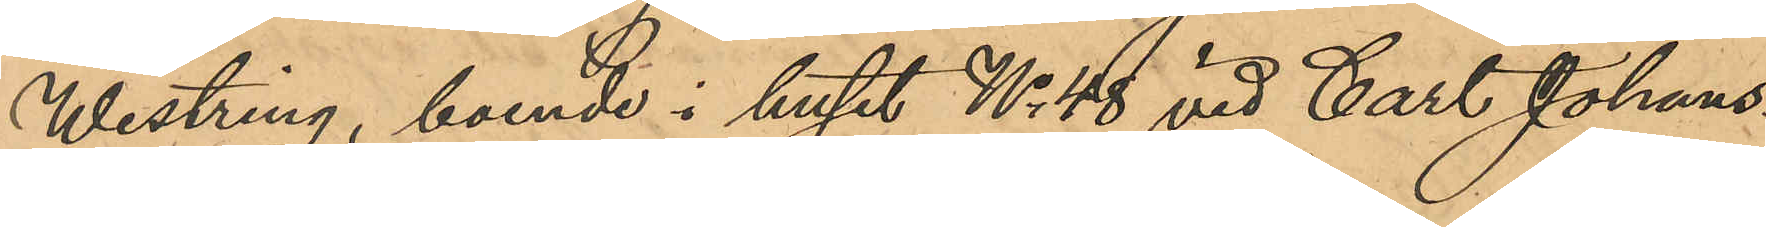Westring, boende i huset No 48 vid Carl Johans¬
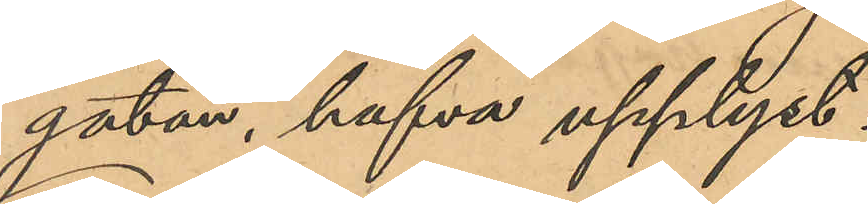gatan hafva upplyst:
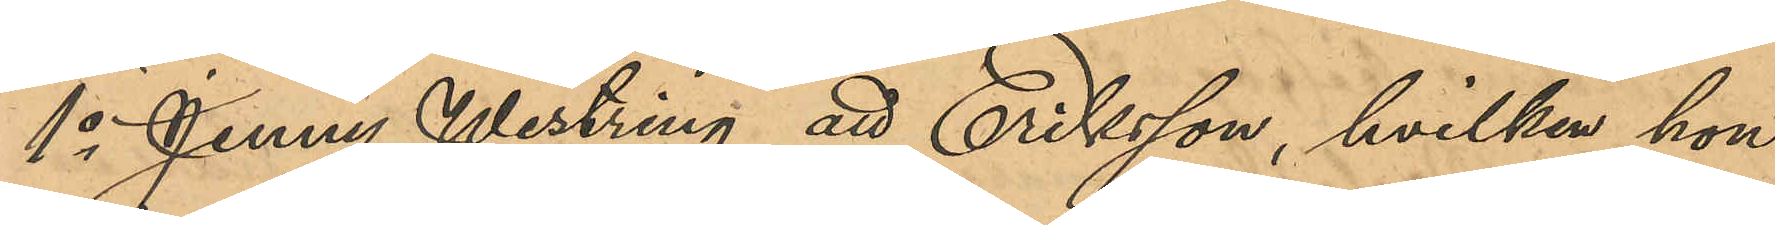1o Jenny Westring att Eriksson, hvilken hon
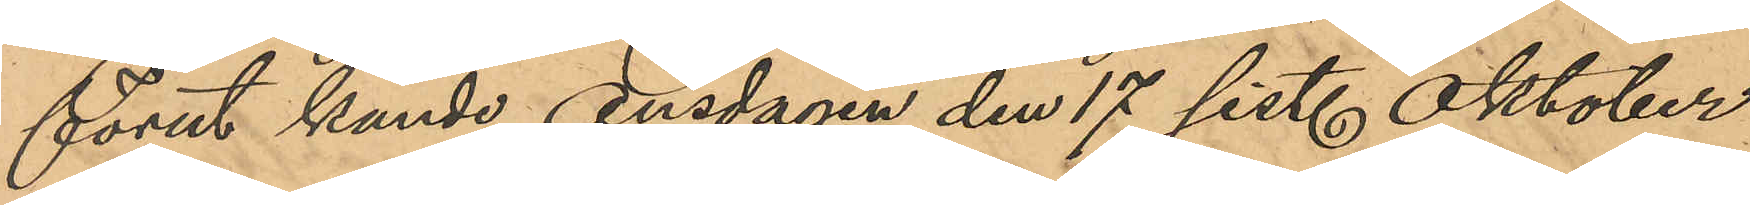förut kände, Onsdagen den 27 sist. Oktober
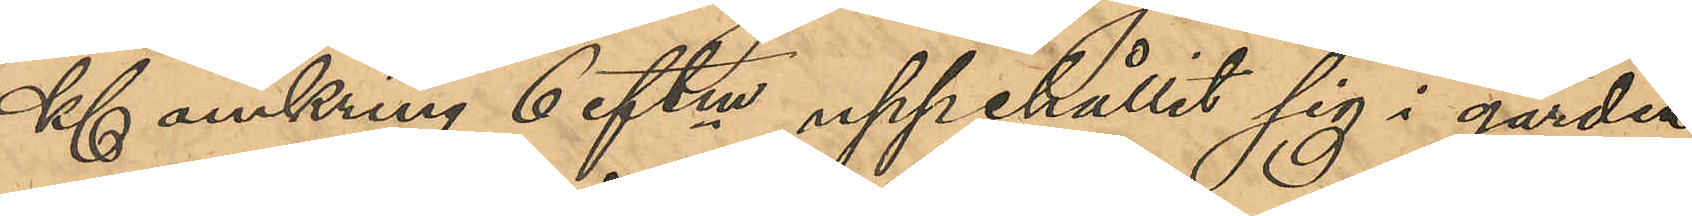Kl omkring 6 eftm uppehållit sig i gården
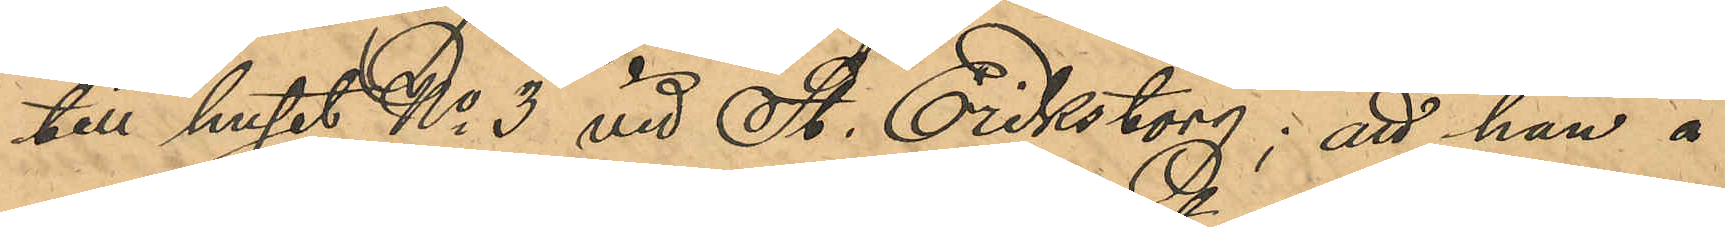till huset No 3 vid St. Eriks torg; att han å
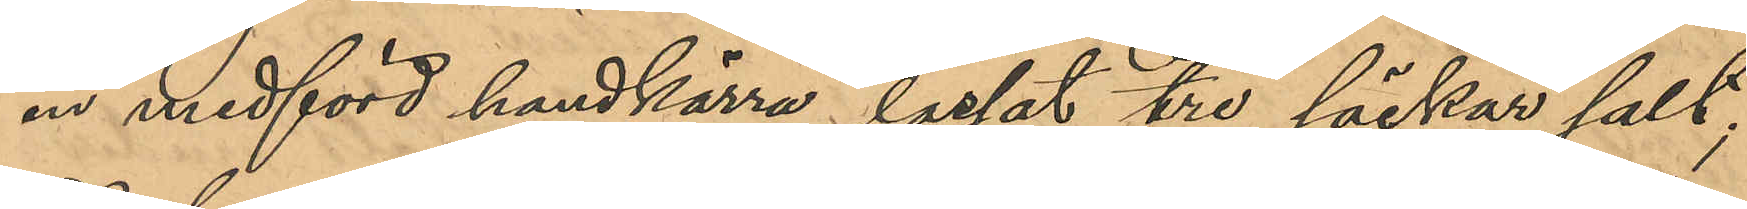en medförd handkärra lastat tre säckar salt;
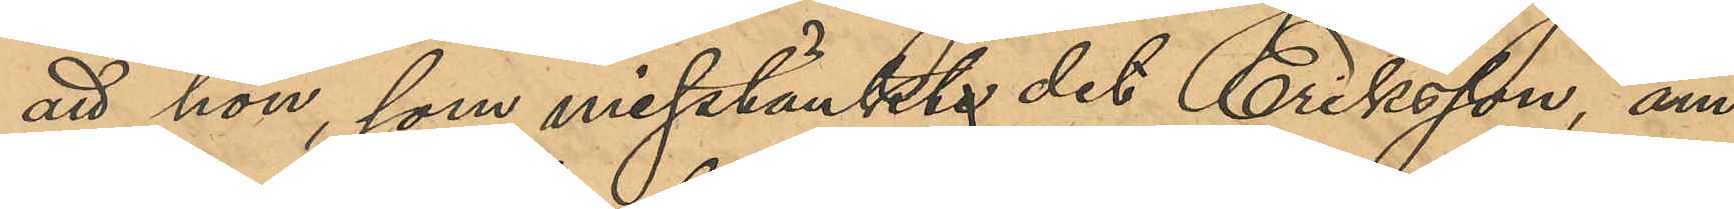att hon som misstänkte det Eriksson, äm¬
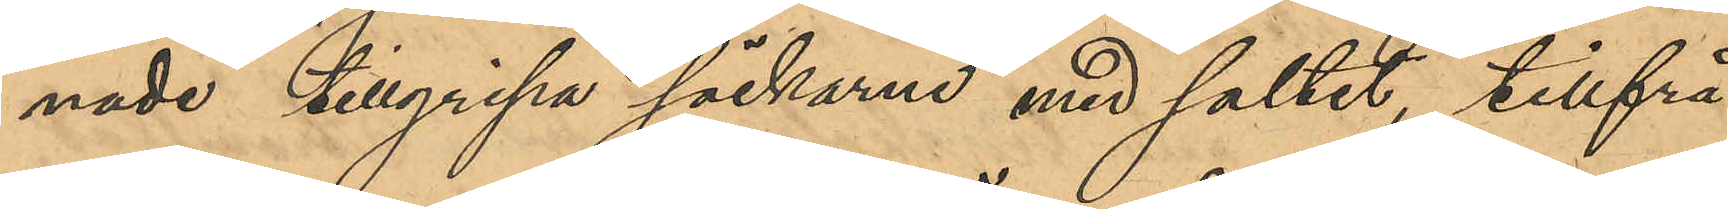nade tillgripa säckarna med saltet, tillfrå¬
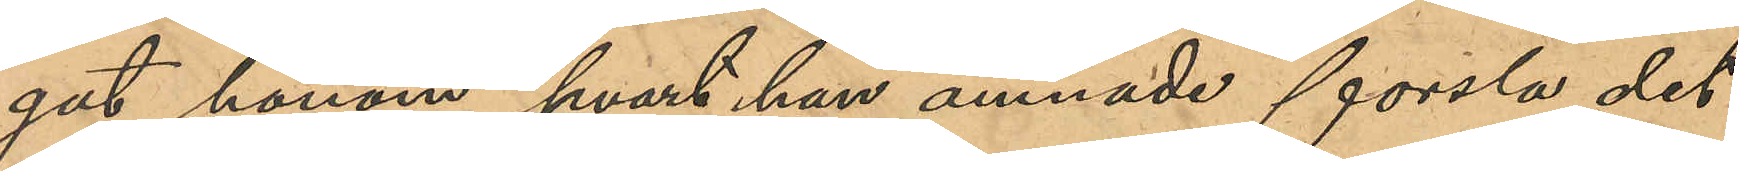gat honom hvart han ämnade forsla det¬
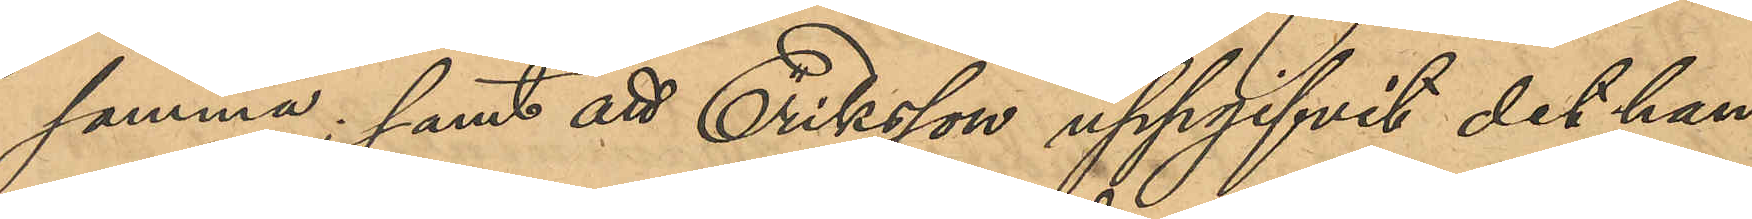samma; samt att Eriksson uppgifvit det han
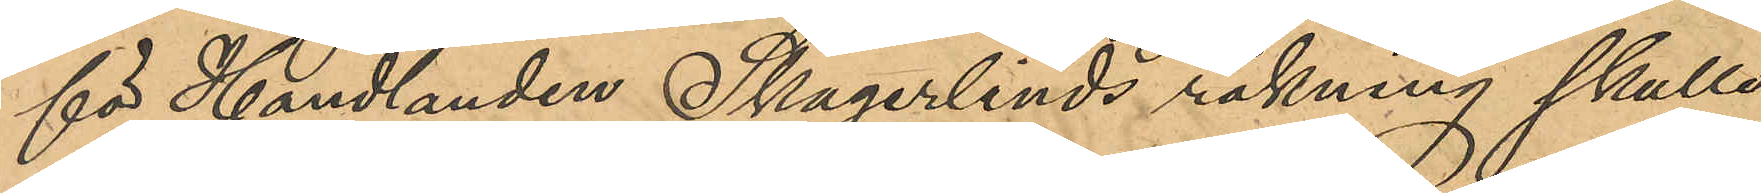för Handlanden Skagerlinds räkning skulle
